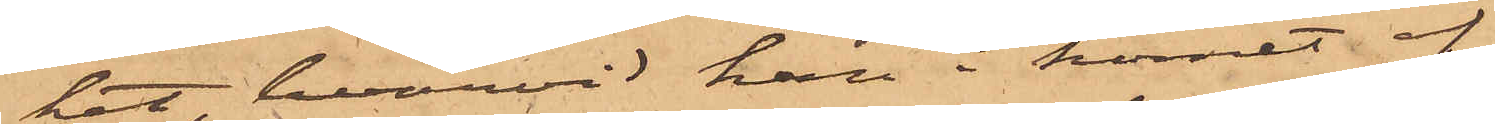ket, hvarvid han i hörnet af
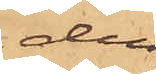den
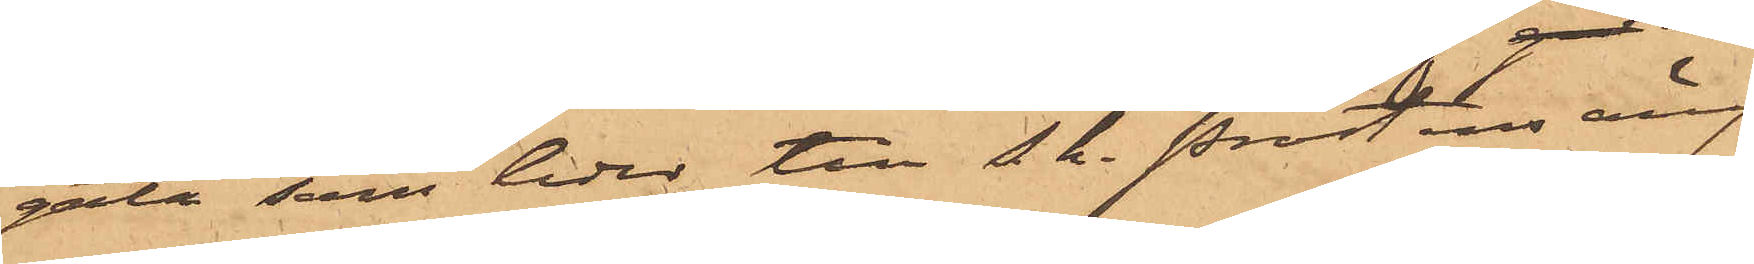gata, som leder till s.k. prostens äng
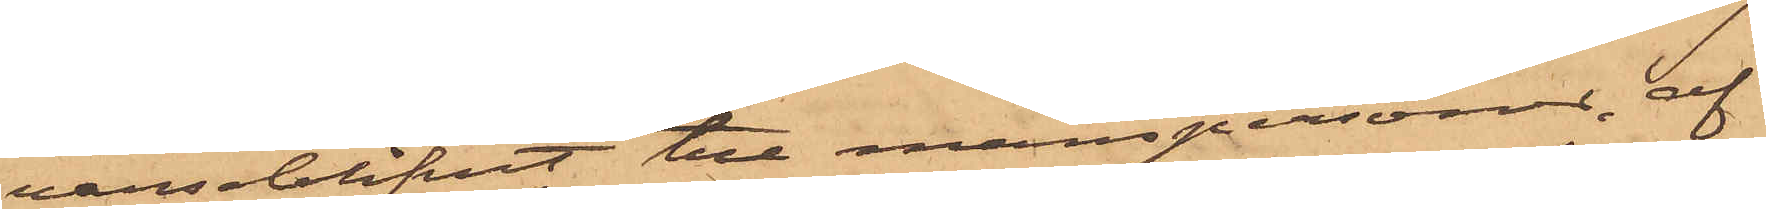varseblifvit tre manspersoner, af
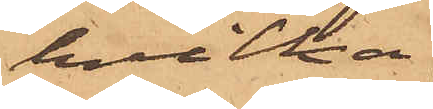hvilka
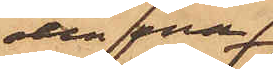den ena
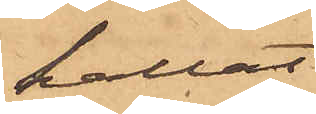kallat
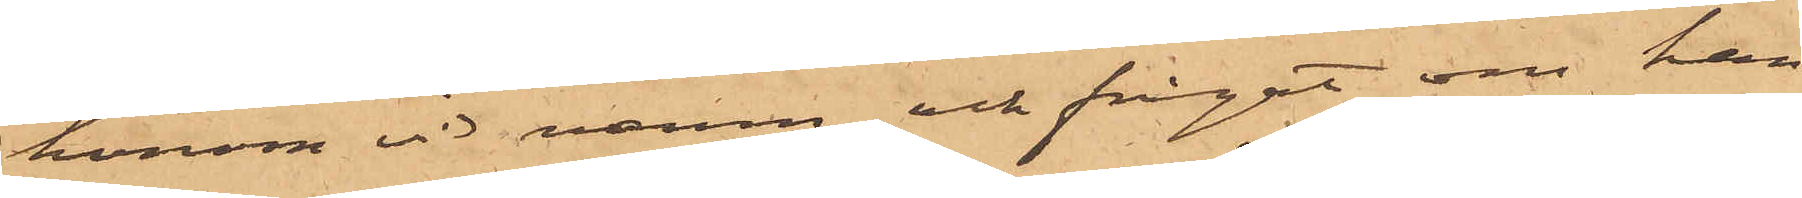honom vid namn och frågat om han
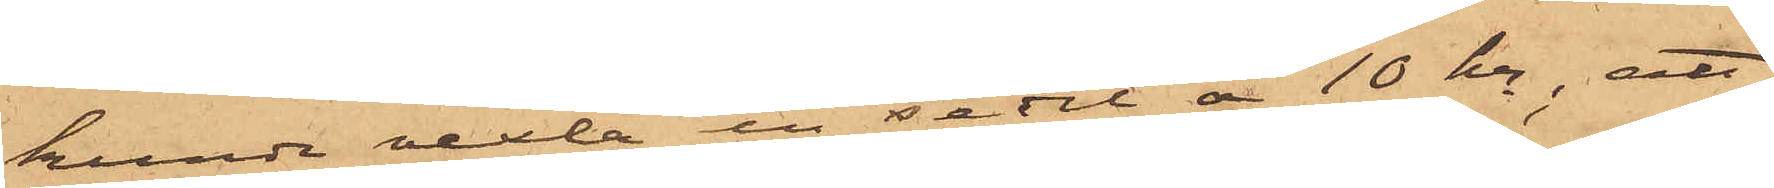kunde vexla en sedel å 10 kr; att
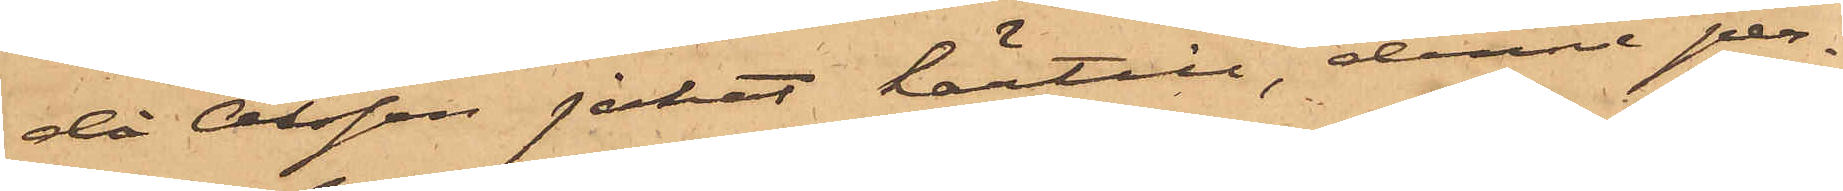då Olsson jakat härtill, denne per¬
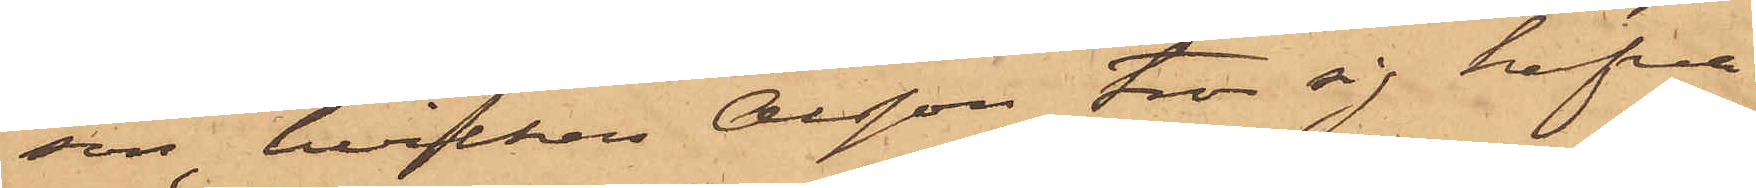son, hvilken Olsson tror sig hafva
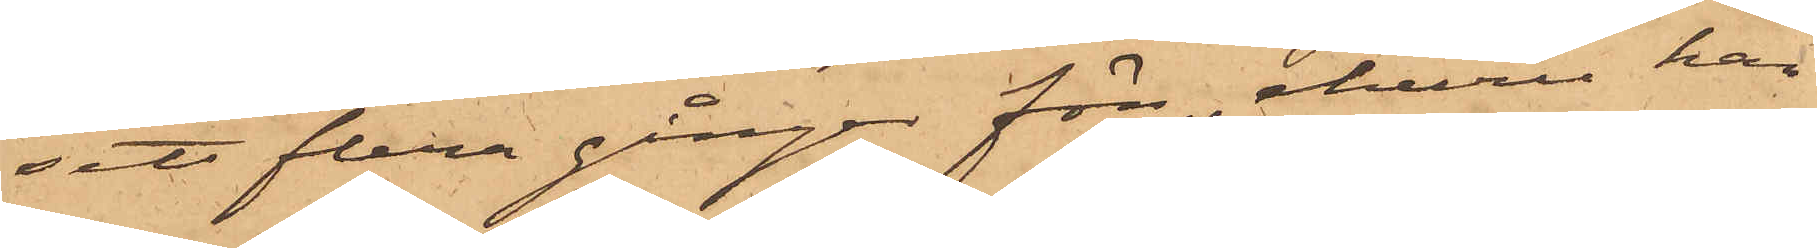sett flera gånger förr, ehuru han
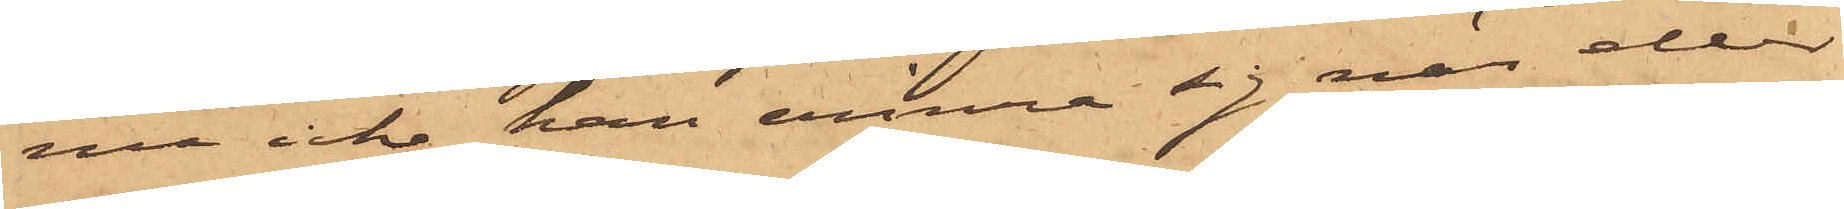nu icke han erinra sig när eller
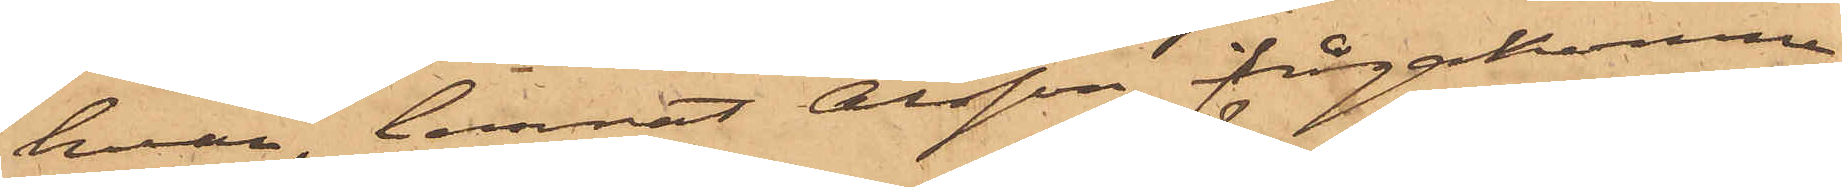hvar, lemnat Olsson frågakomne
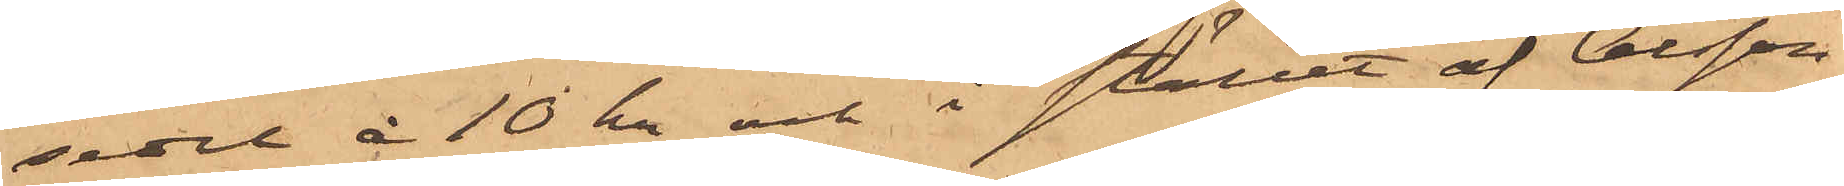sedel å 10 kr och i stället af Olsson
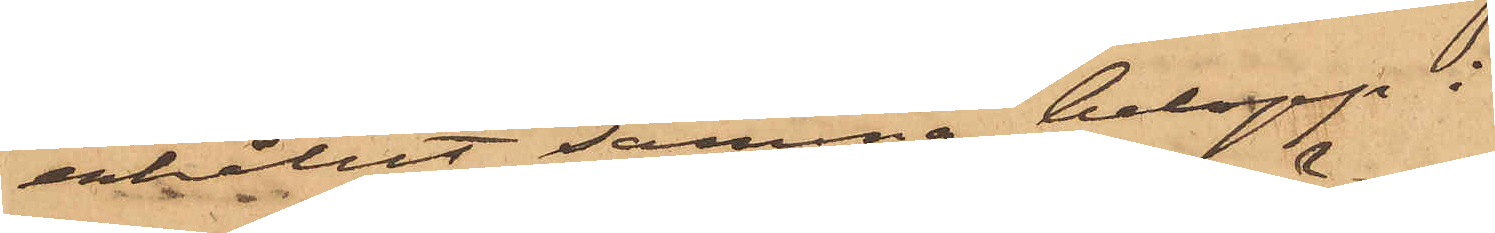erhållit samma belopp i
